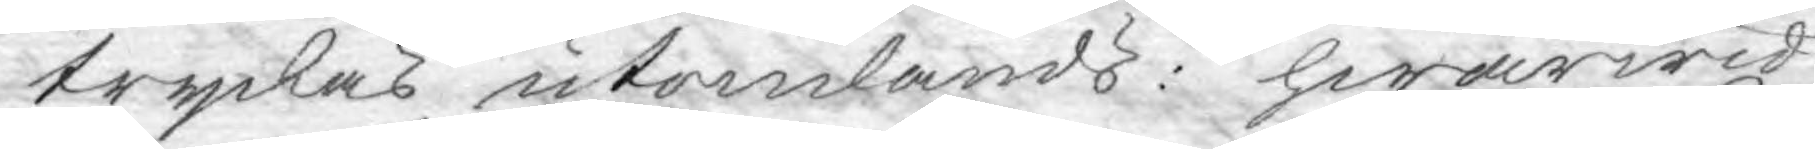tryckas utomlands: hwarwid
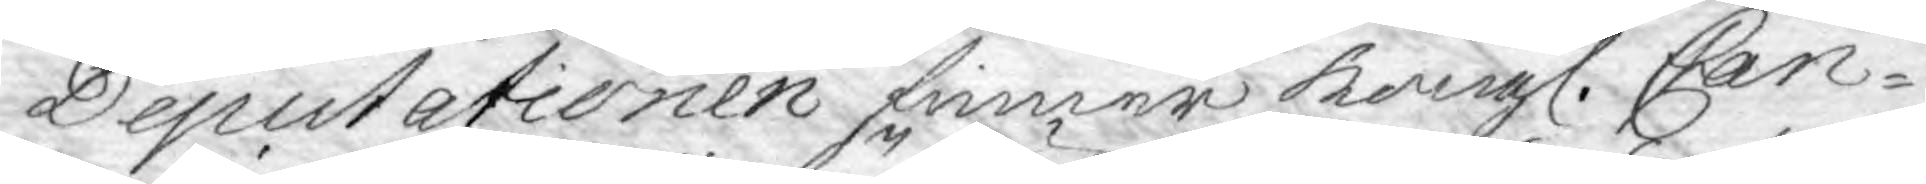Deputationen finner Kongl. Can¬
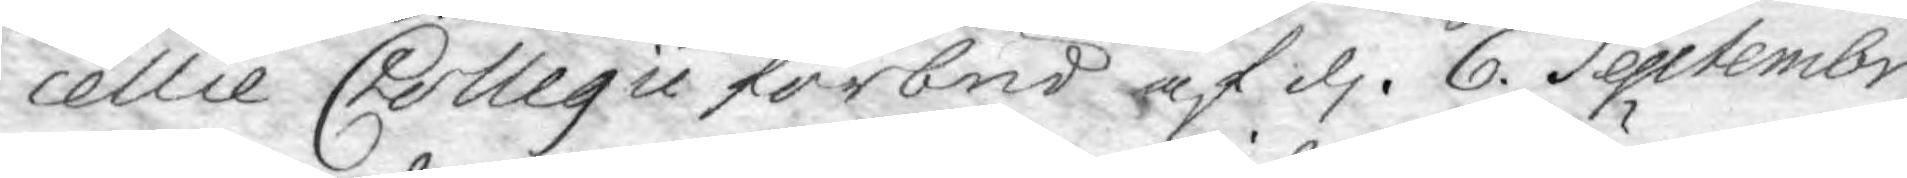cellie Collegii förbud af d. 6. Septembr
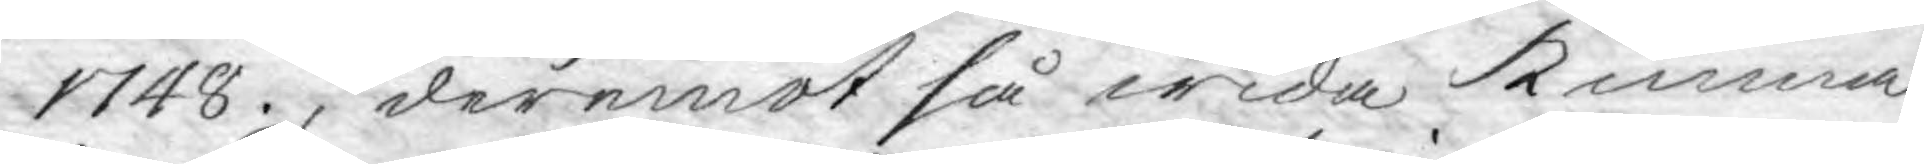1748., deremot så wida kunna
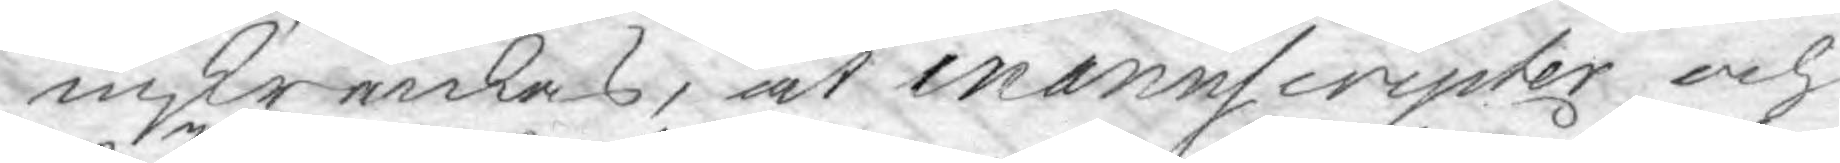inskrenkas, at manuscripter och
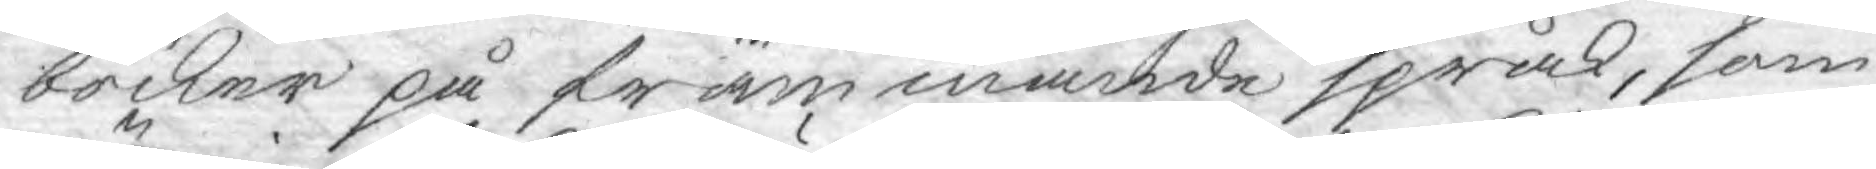böcker på främmande språk, som
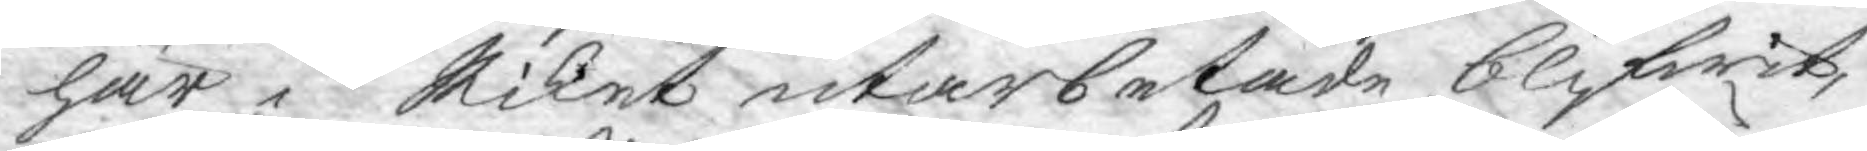här i Riket utarbetade blifwit,
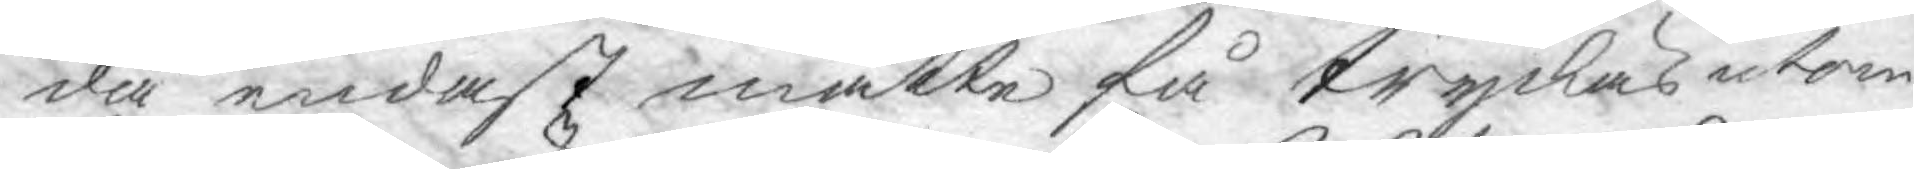då endast måtte få tryckas utom
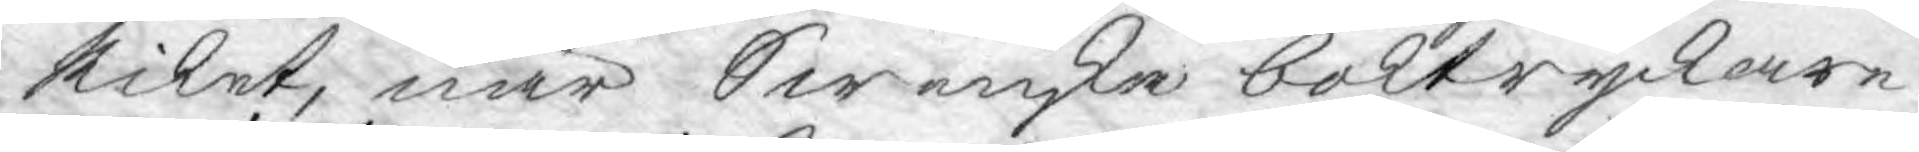Riket, när Swenske boktryckare
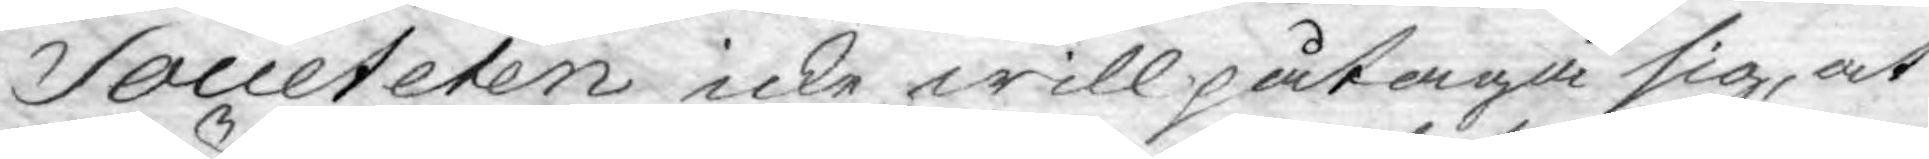Societeten icke will påtaga sig, at
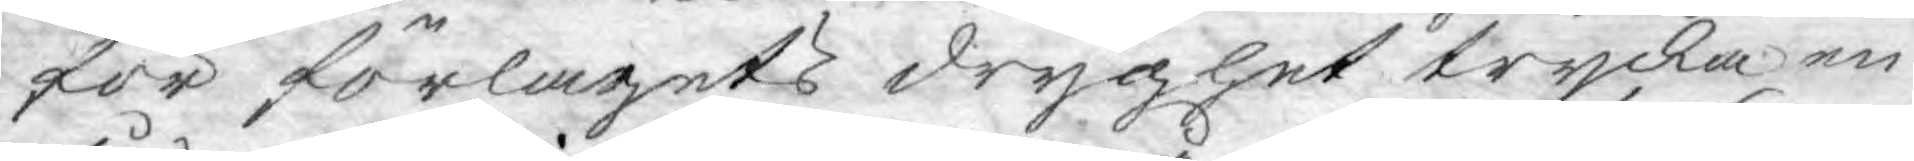för förlagets dryghet trycka en
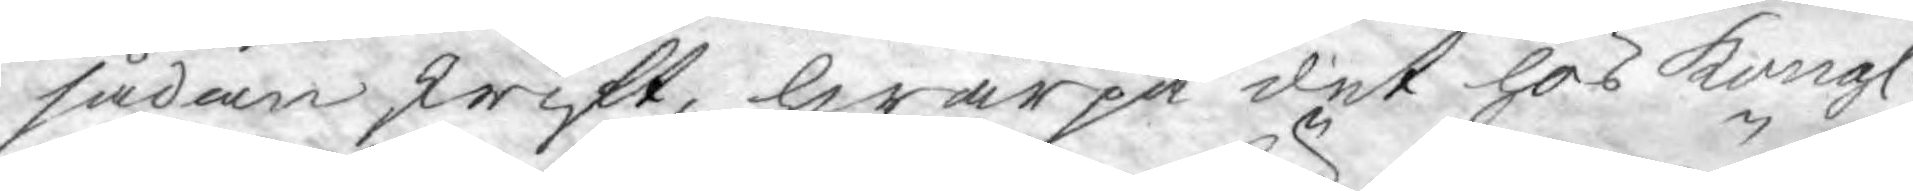sådan skrift, hwarpå det hos Kongl.
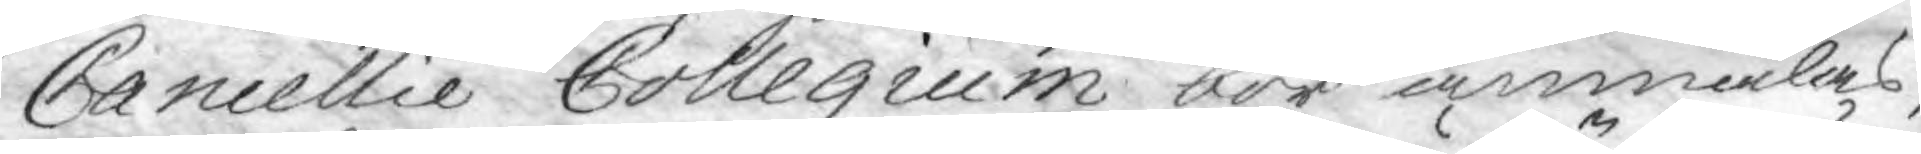Cancellie Collegium bör anmälas,
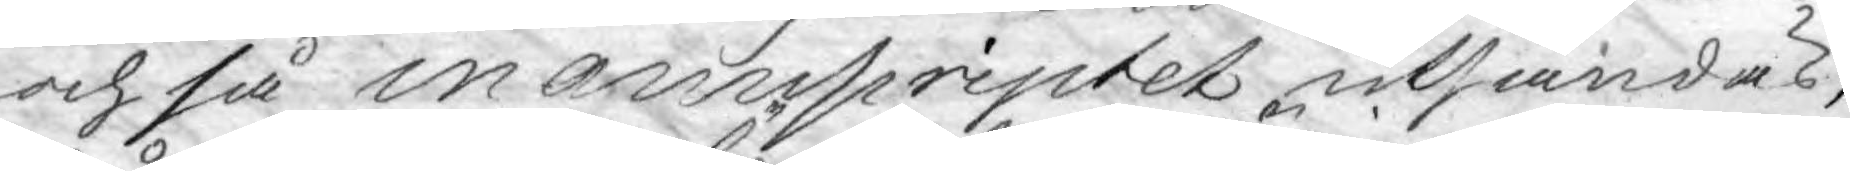och så manuscriptet utsändas,
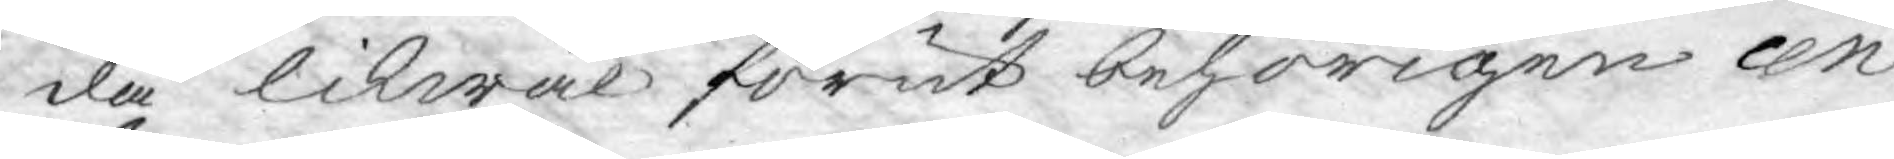då likwäl förut behörigen cen
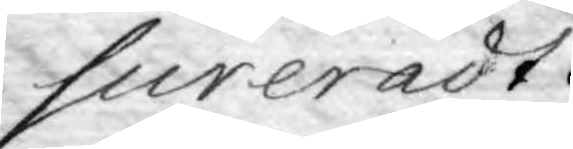sureradt.
